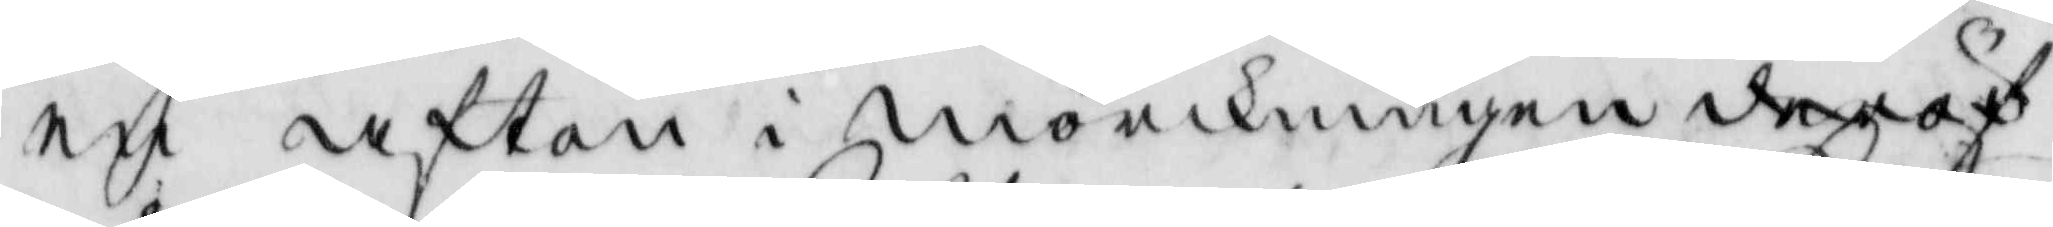en afton i mörkningen deröf
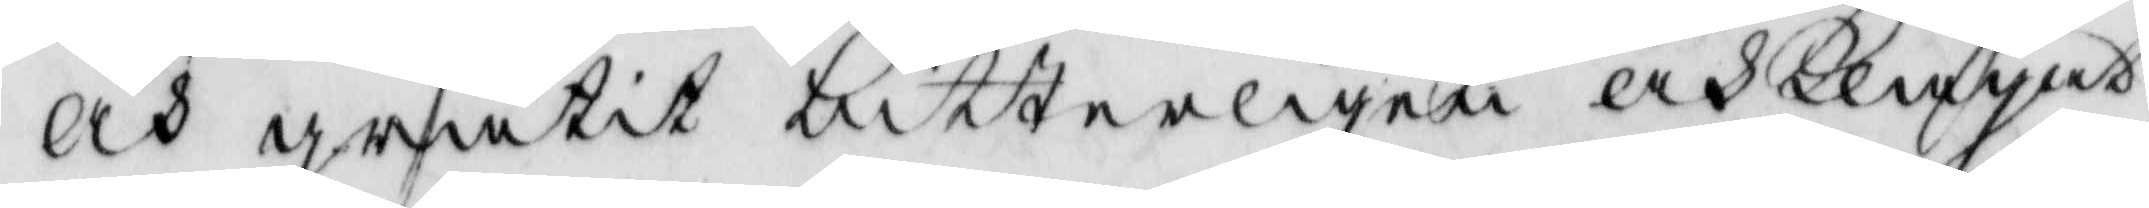och gråtit bitterligen och klagat
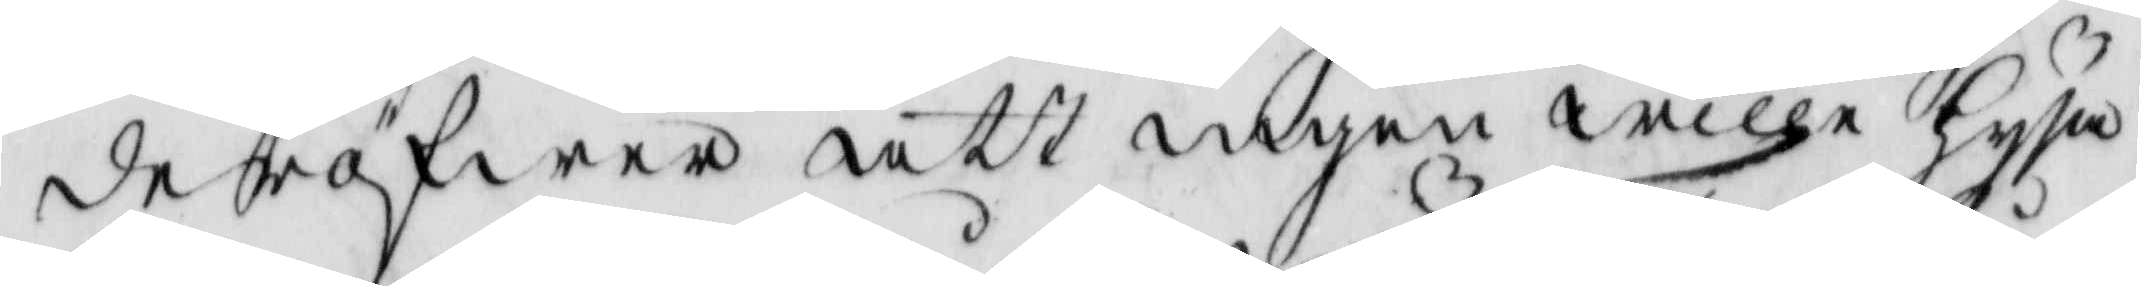deröfwer att ingen wille hysa
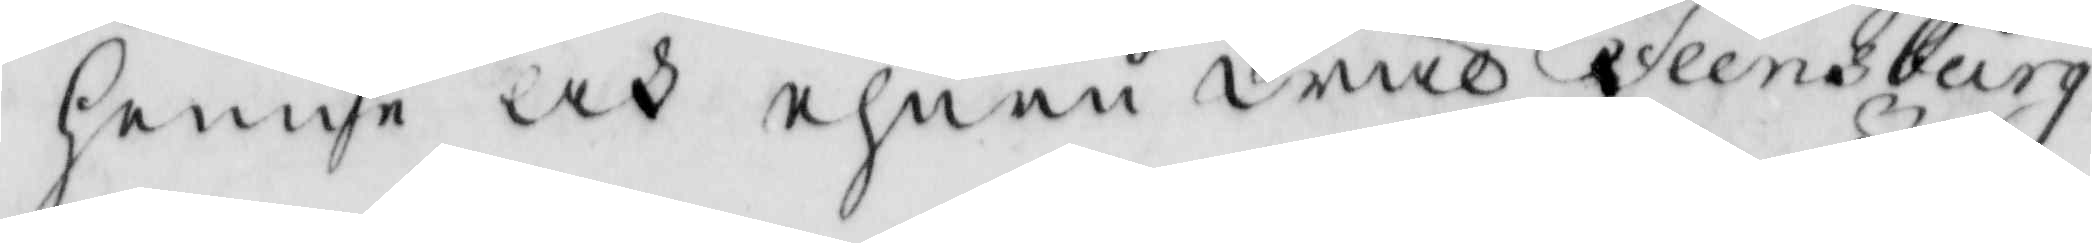henne och ehuru wäl Flensburg
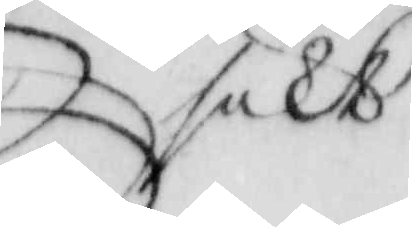sökt
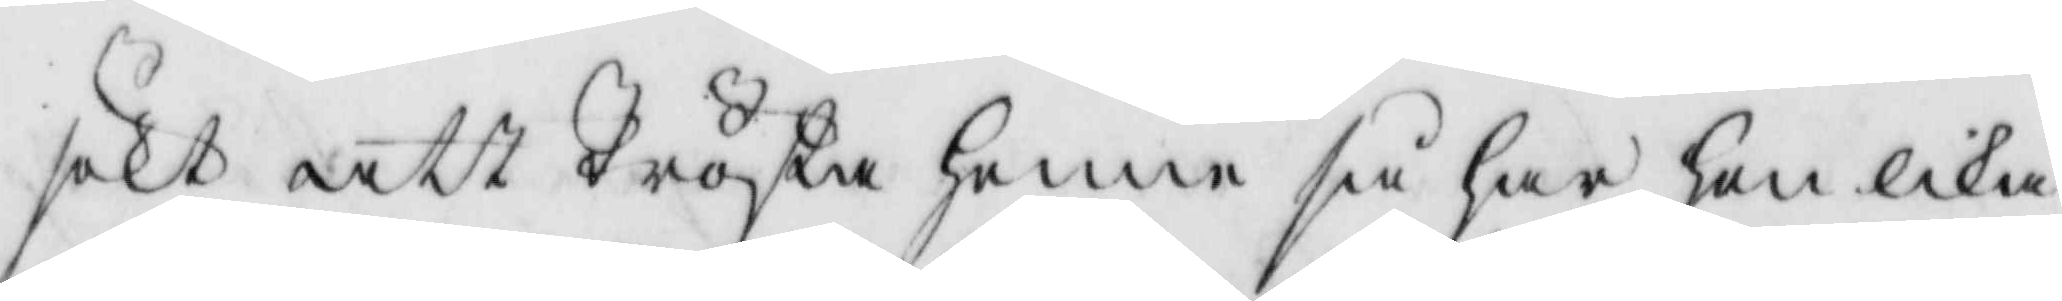sökt att Trösta henne så har hon lika
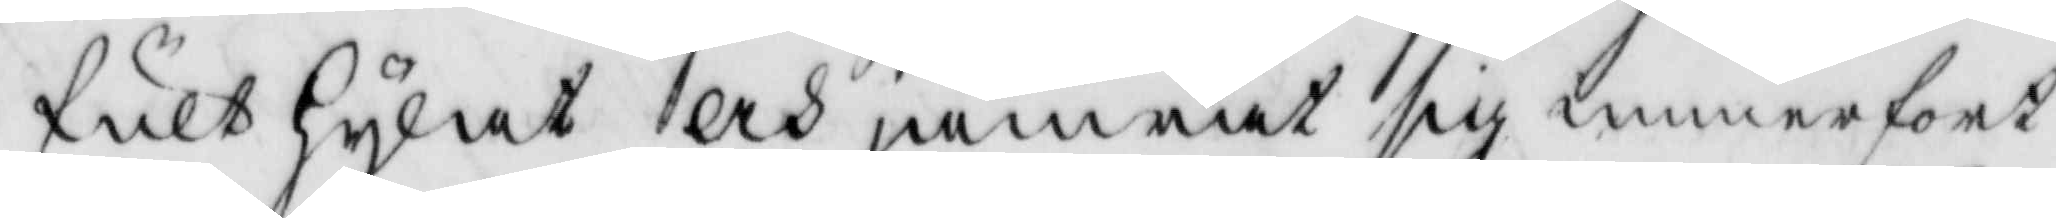fult hylat och jämrat sig mnnerfort
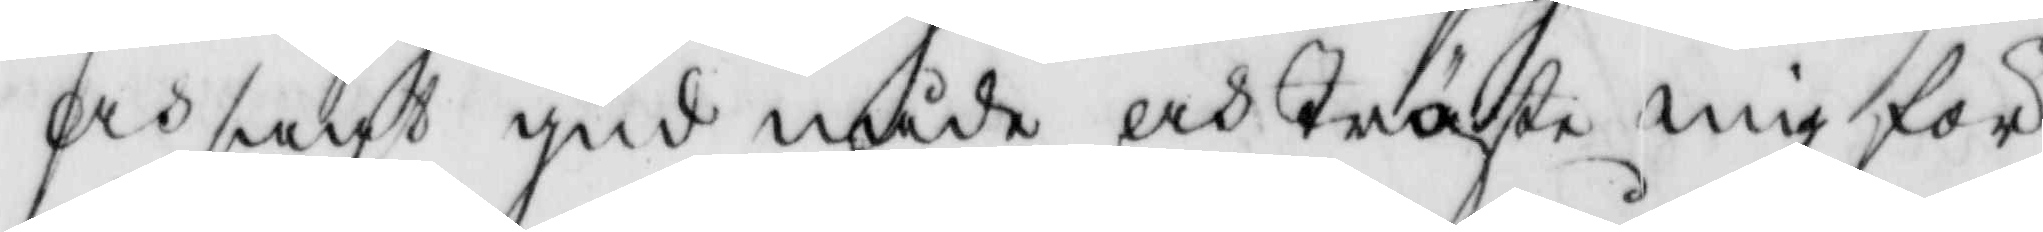och sagt gud nåde och Tröste mig för
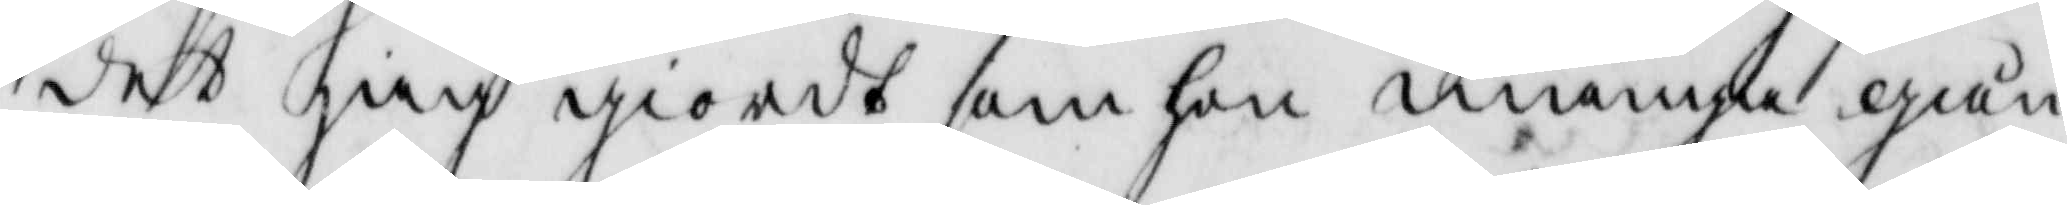det jag giordt som hon många gån¬
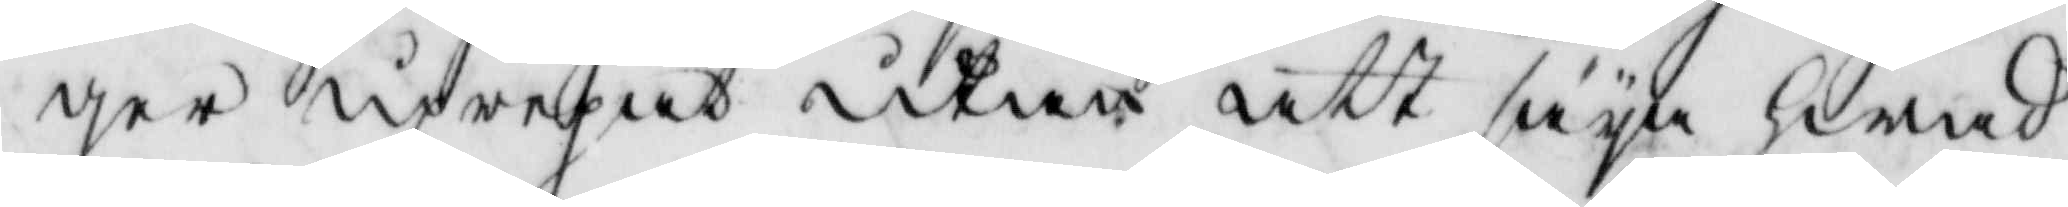ger uprepat utan att säya hwad
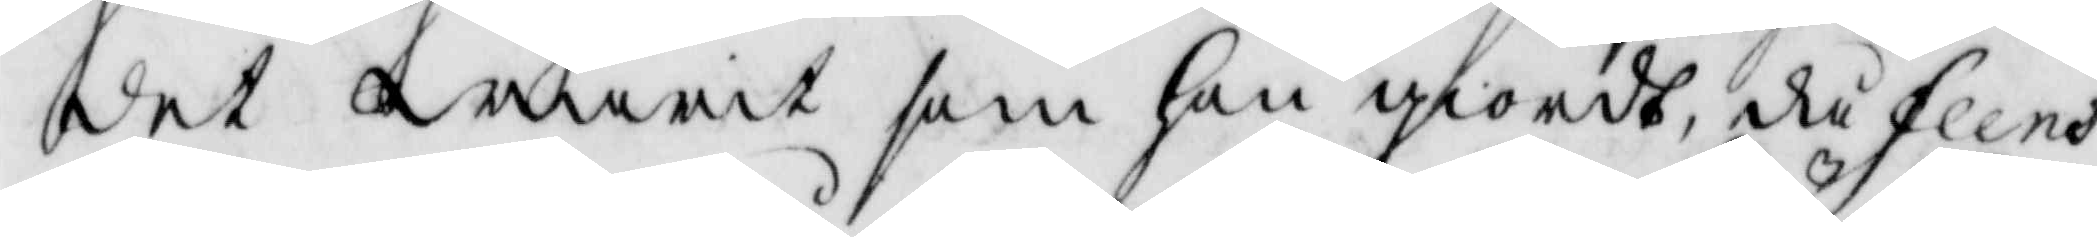det warit som hon giordt, då Flens¬
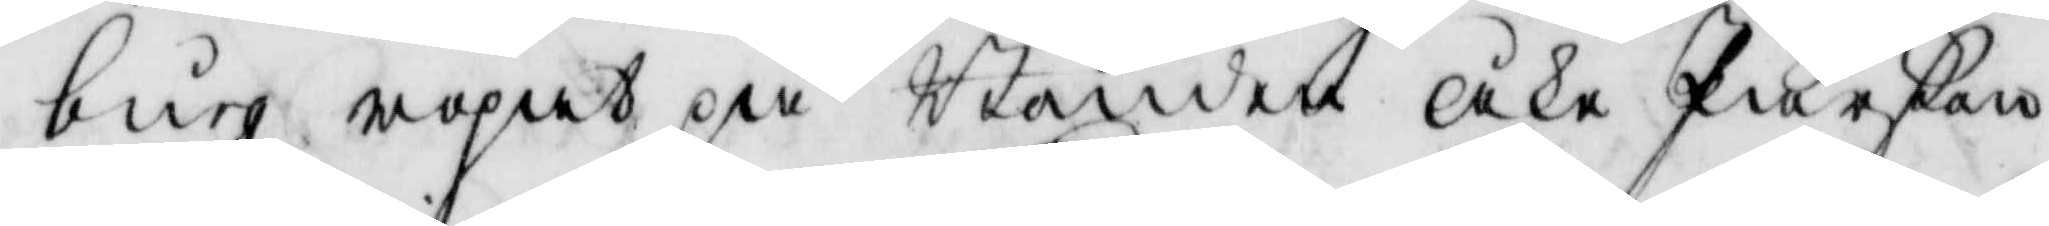burg ropat på Bonden Åke Pärßon
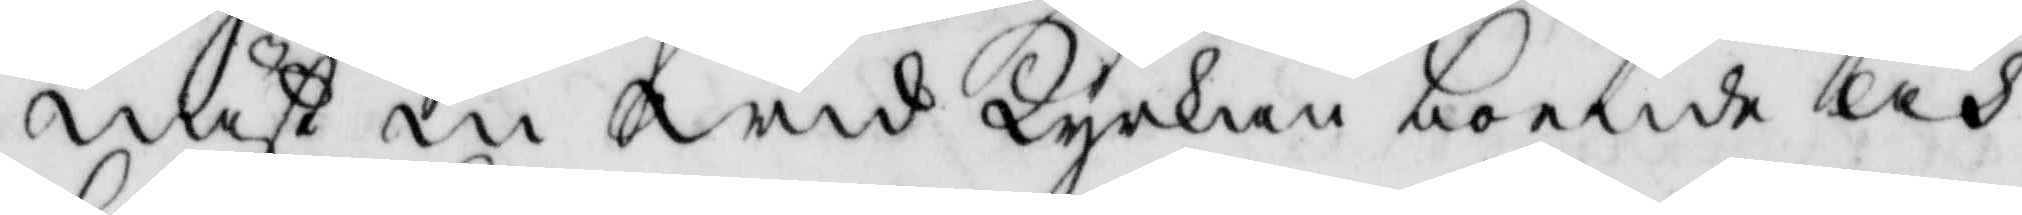näst in wid Kyrkan boende och
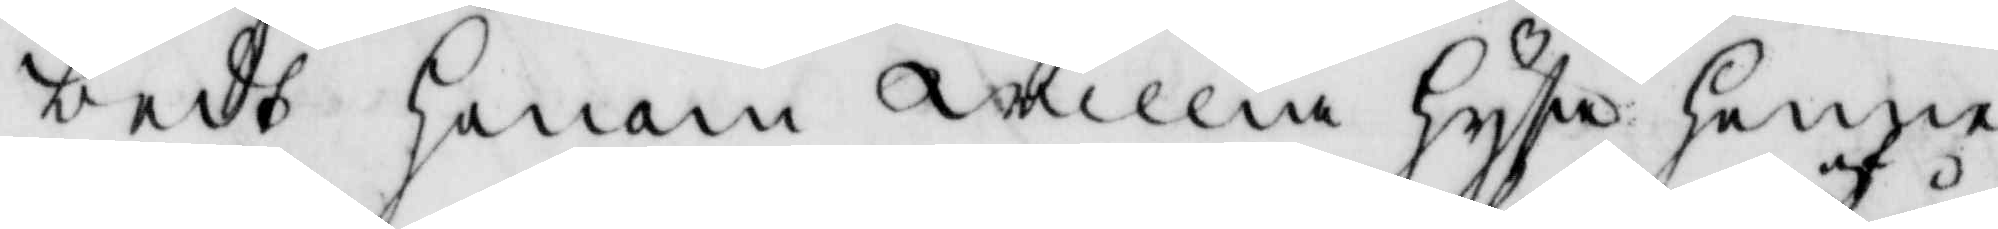bedt honom willia hysa henne
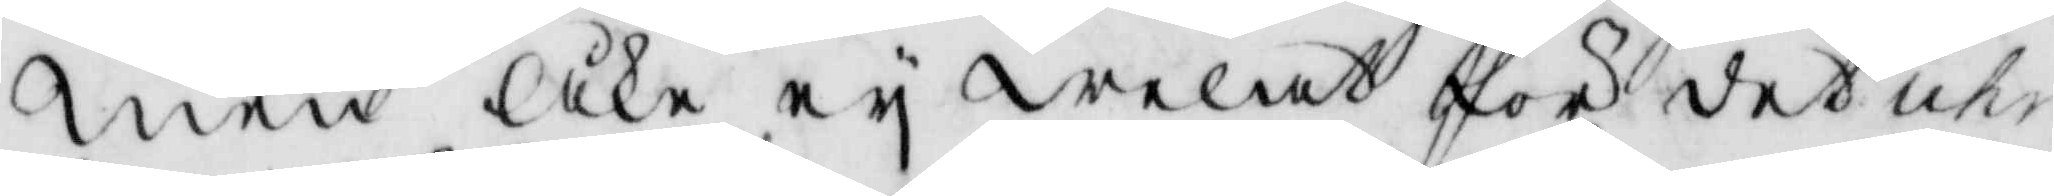men Åke ei welat för det uhr¬
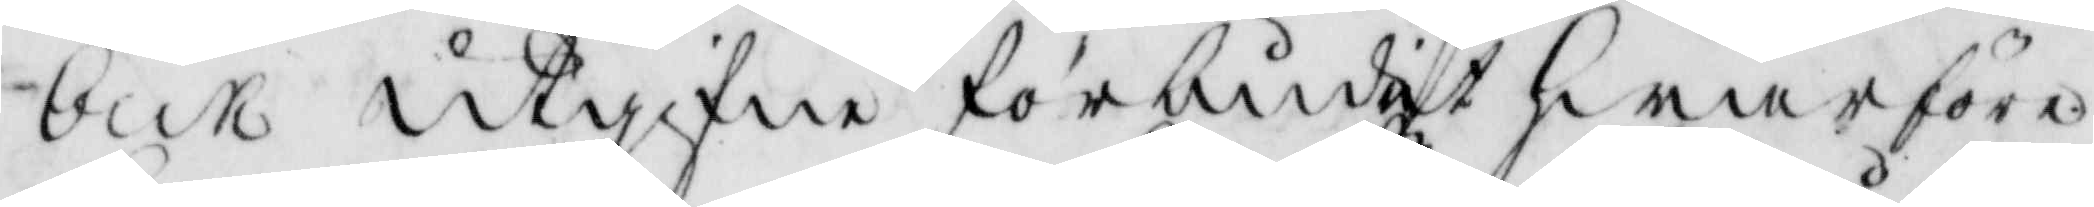beck utgifne förbudit hwarföre
